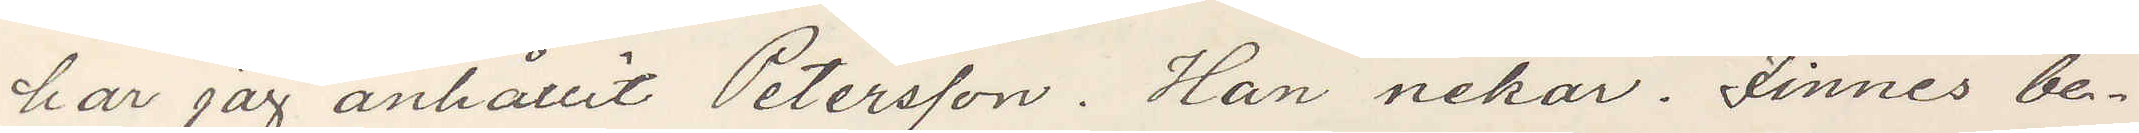har jag anhållit Petersson. Han nekar. Finnes be¬
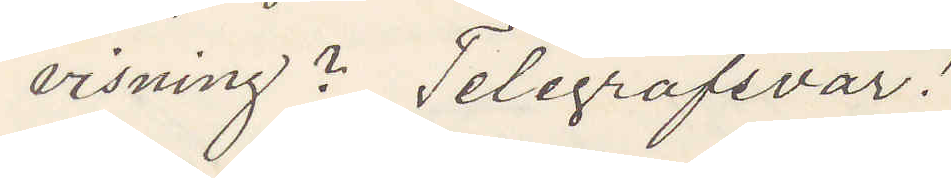visning? Telegrafsvar!
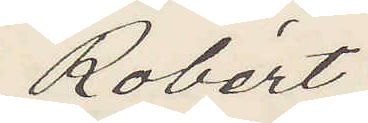Robért
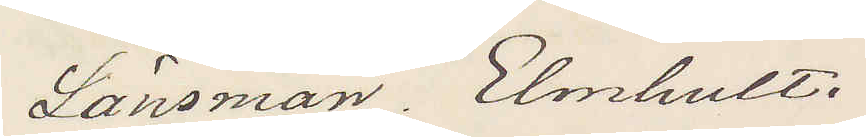Länsman, Elmhult.
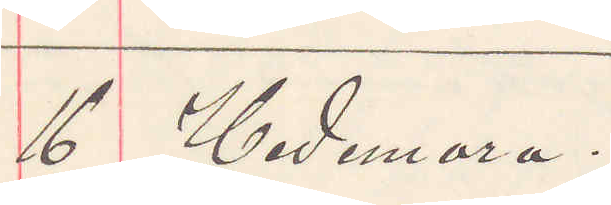16 Hedemora.
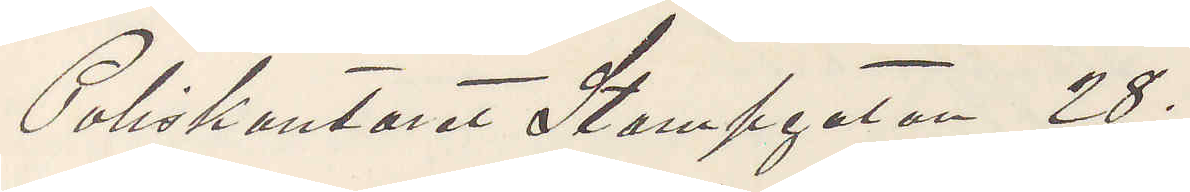Poliskontoret Stampgatan 28.
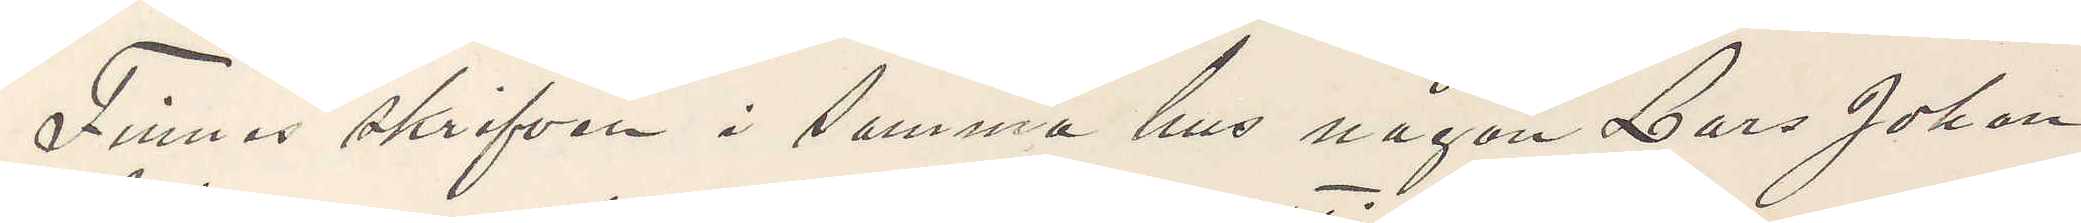Finnes skrifven i samma hus någon Lars Johan
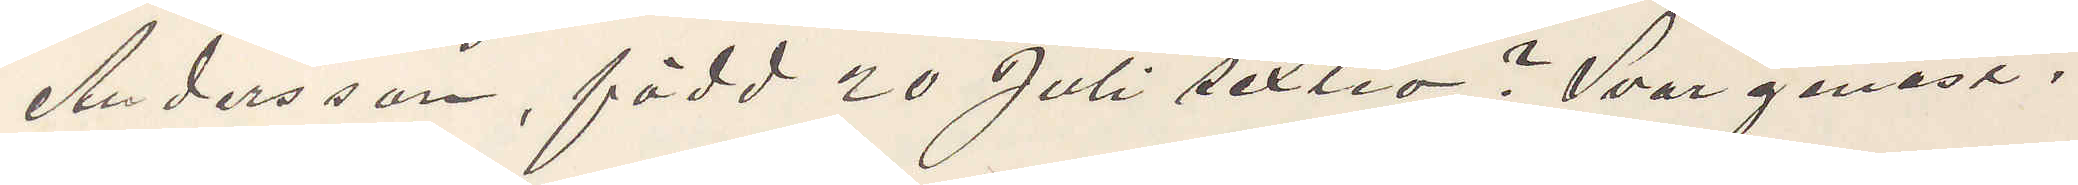Andersson, född 20 Juli sextio? Svar genast.
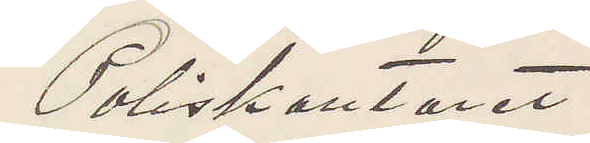Poliskontoret.
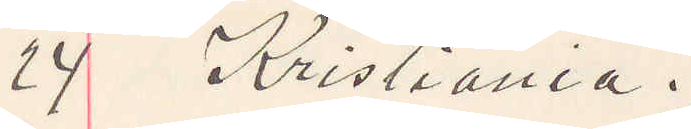24 Kristiania.
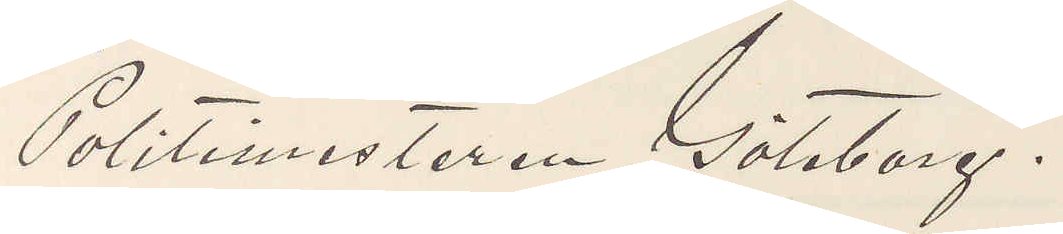Politimesteren Göteborg.
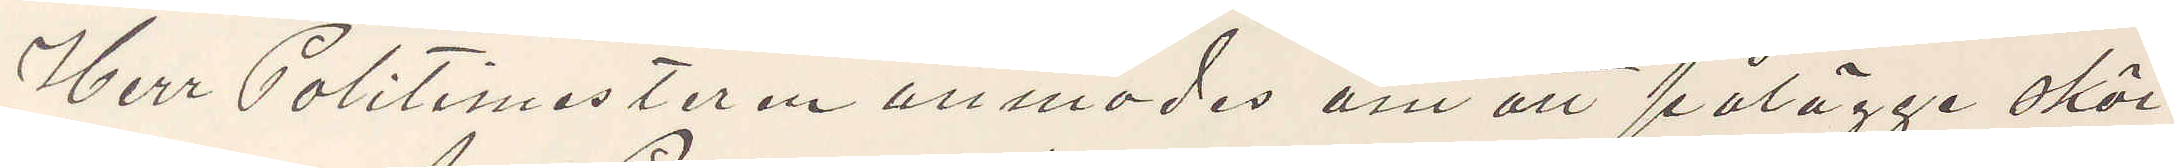Herr Politimesteren anmodas om att pålägge sköi¬
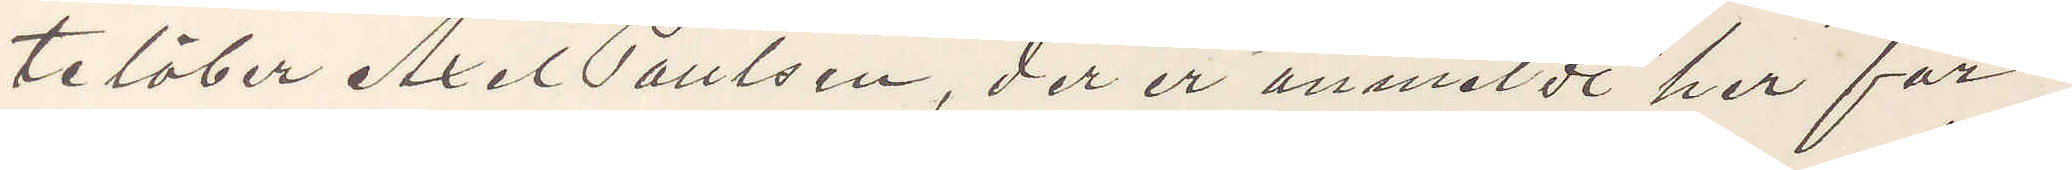telöber Axel Paulsen, der er anmäldt her for
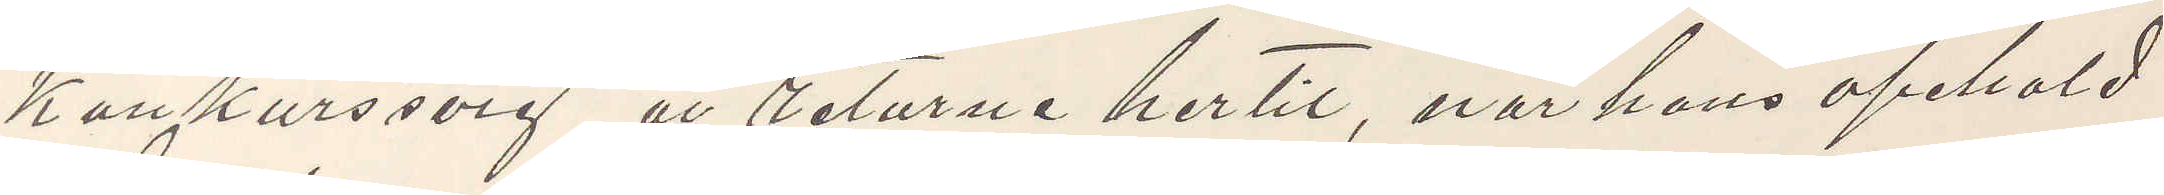Konkurssvig, at returne hertil, når hans opehold
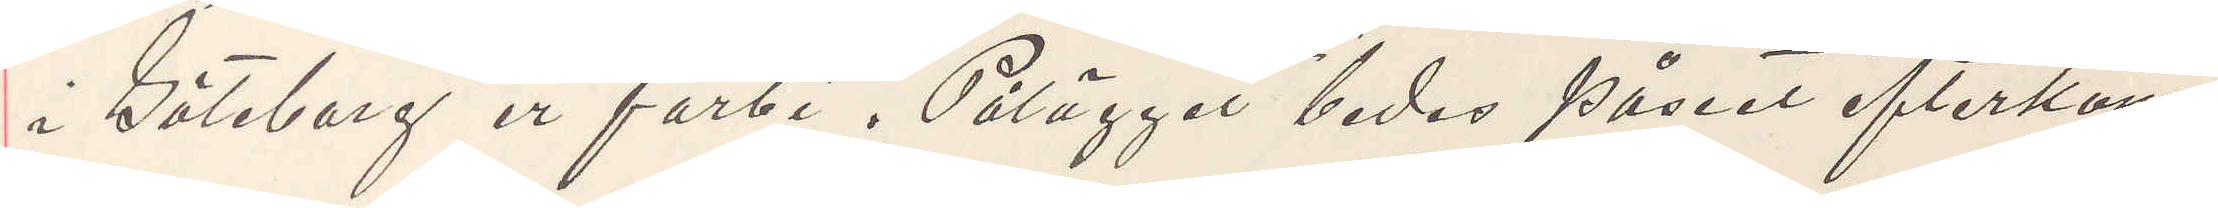i Göteborg er forbi. Pålägget bedes påseet efterkom¬
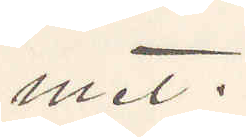met.
